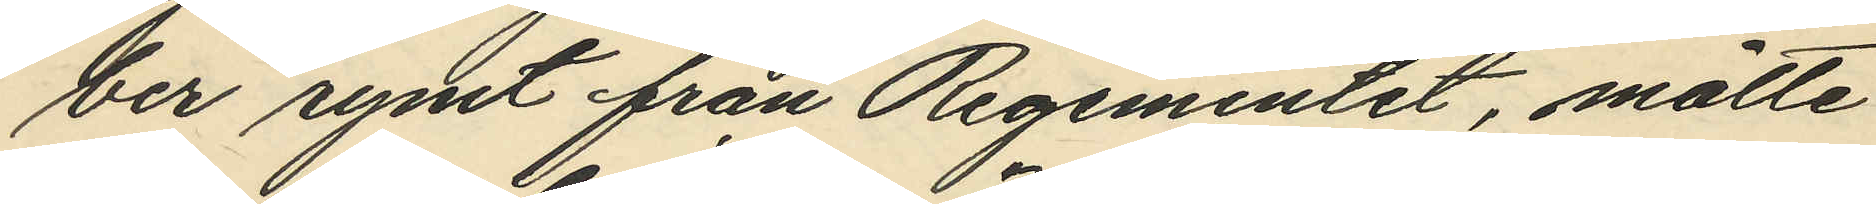ber rymt från Regementet, måtte
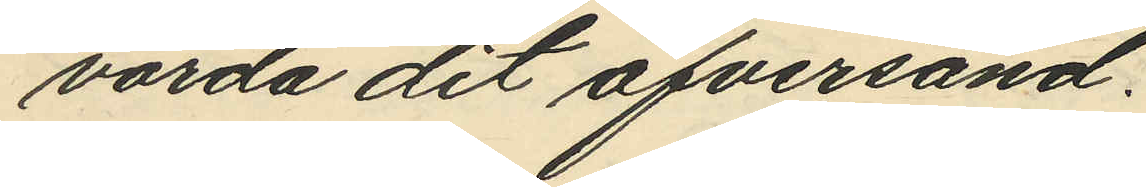varda dit öfversänd.
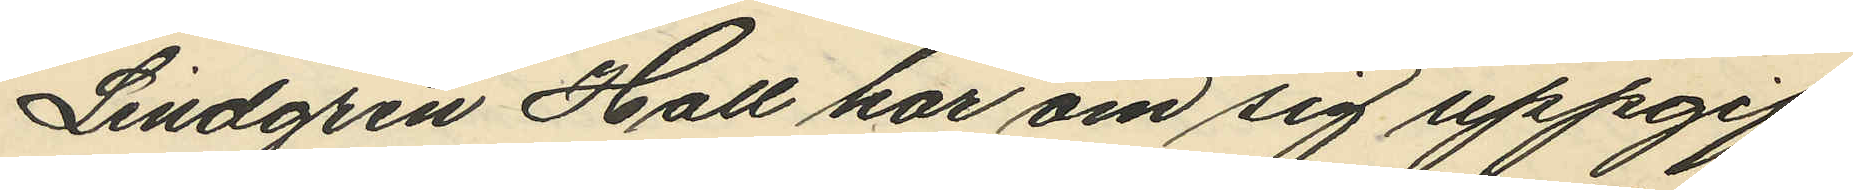Lindgren Hall har om sig uppgif¬
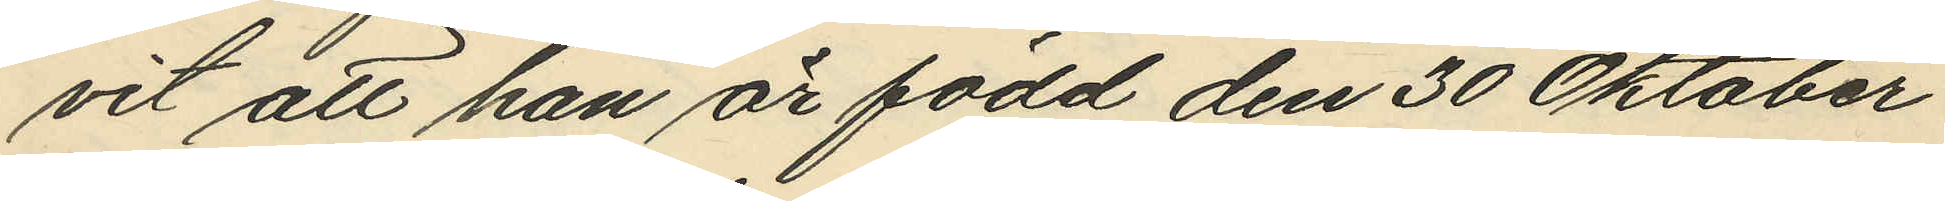vit att han är född den 30 Oktober
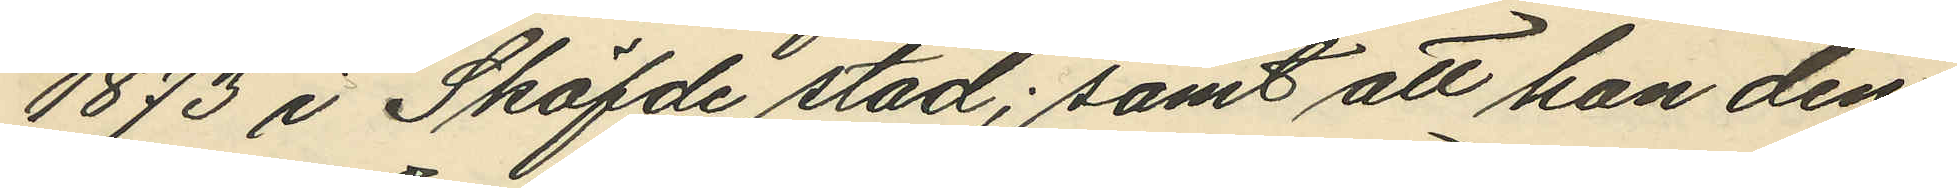1873 i Sköfde stad; samt att han den
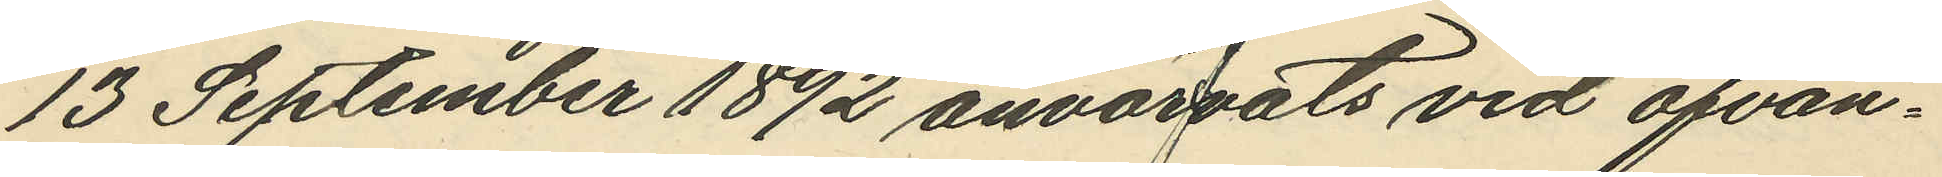13 September 1892 anvärvats vid ofvan¬
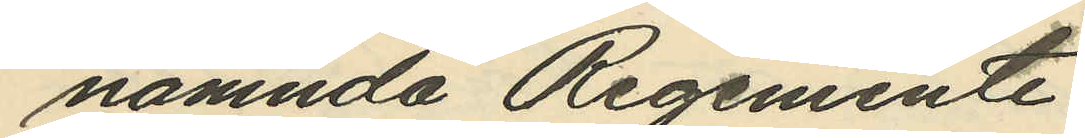nämnda Regemente.
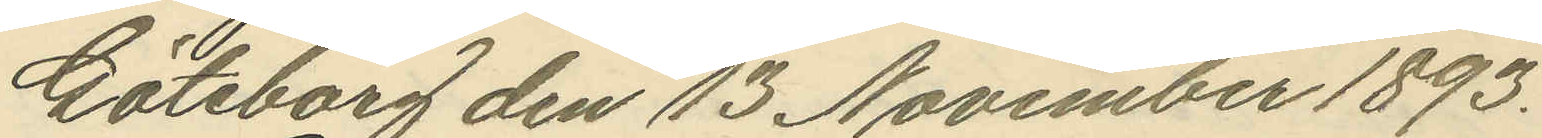Göteborg den 13 November 1893.
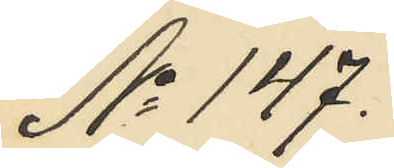No 147.
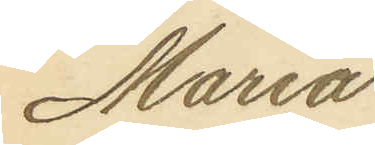Maria
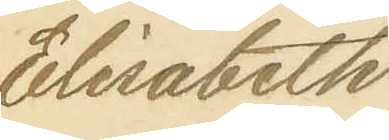Elisabeth
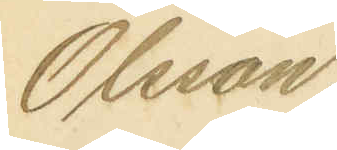Olsson.
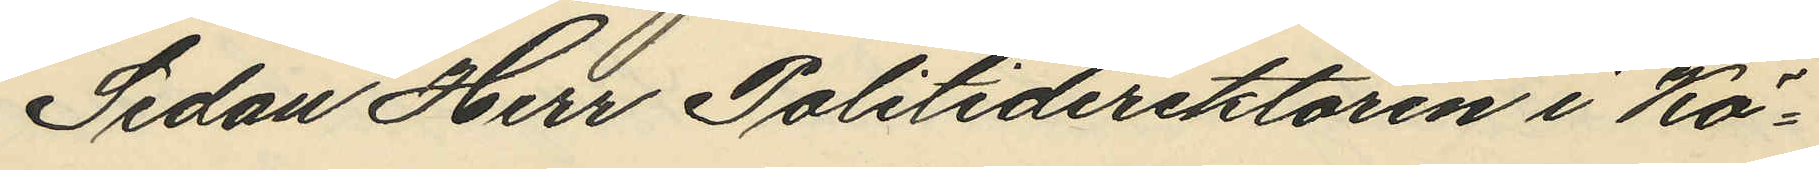Sedan Herr Politidirektören i Kö¬
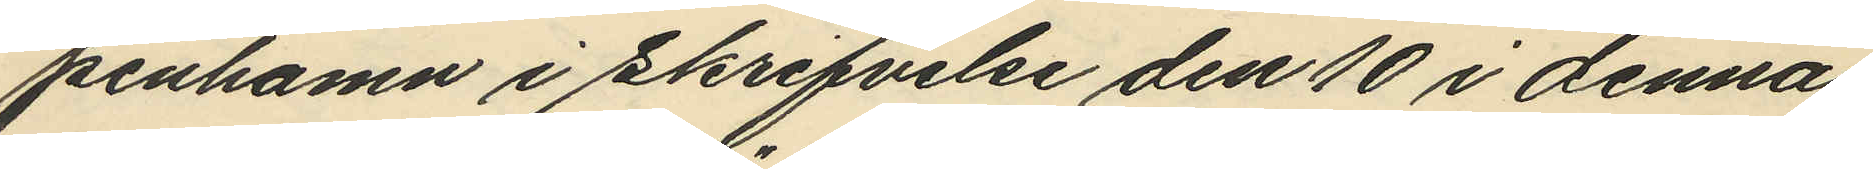penhamn i skrifvelse den 10 i denna
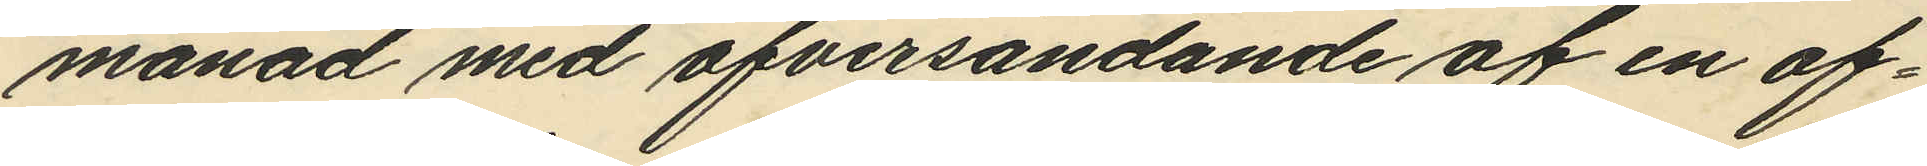månad med öfversändande af en af¬
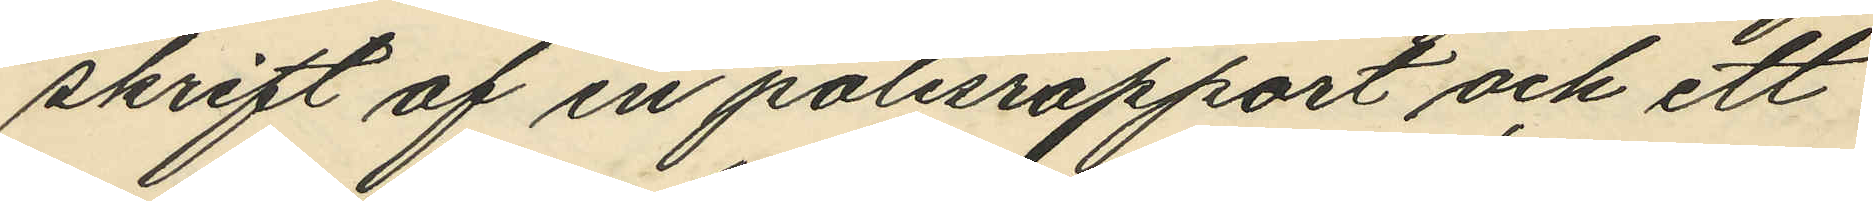skrift af en polisrapport och ett
